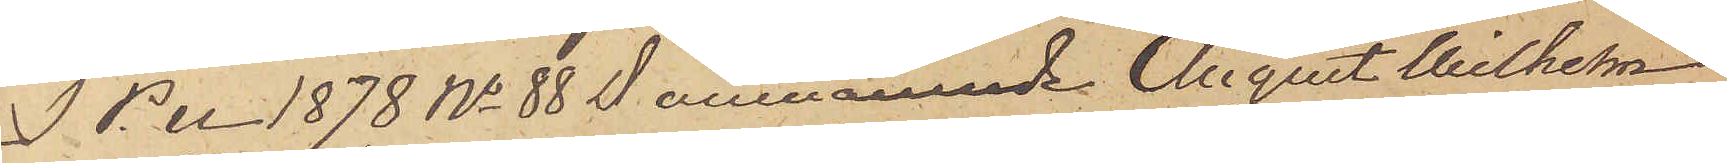I P. U 1878 No 88 omnämnde August Wilhelm
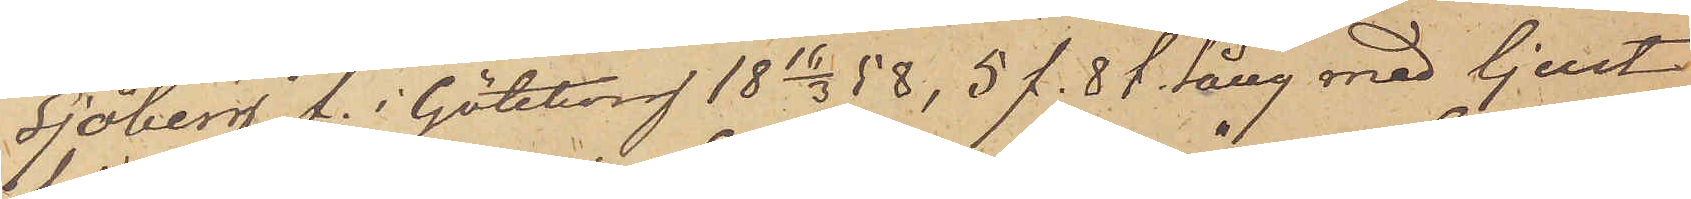Sjöberg f. i Göteborg 18 16/3 58,  5 f. 8 t. lång med ljust
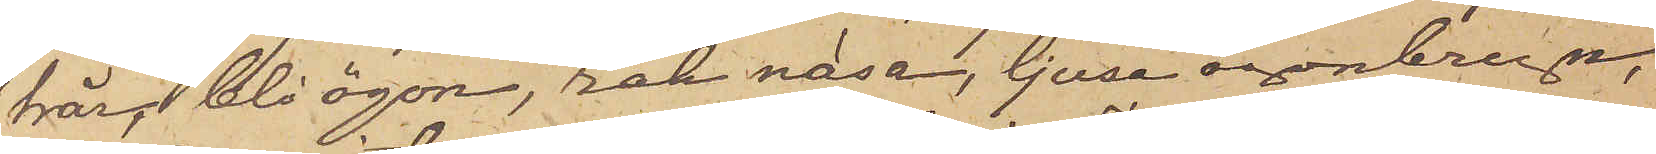hår, blå ögon, rak näsa, ljusa ögonbryn,
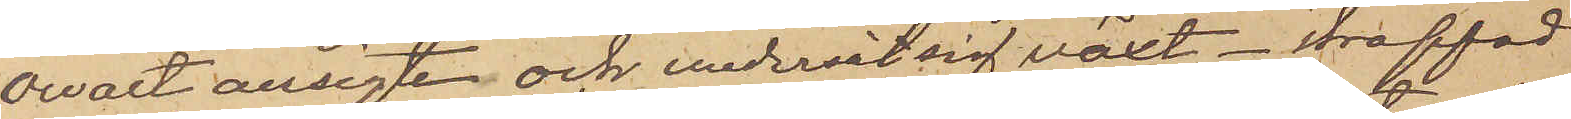ovalt ansigte och undersätsig växt -  straffad
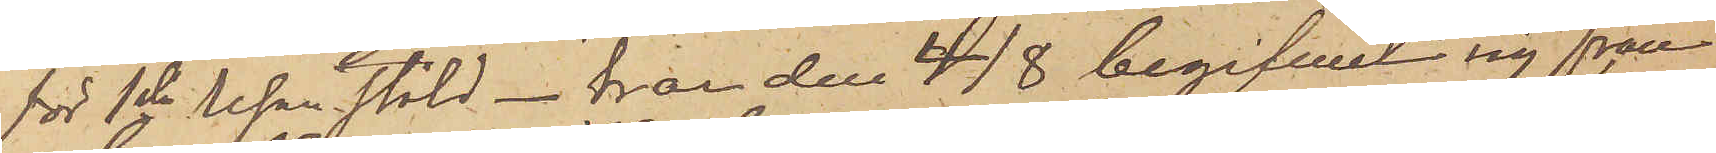för 1sta resan stöld - har den 4/8 begifvit sig från
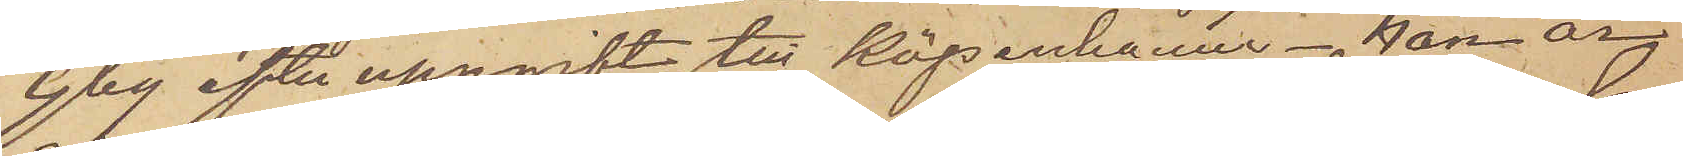Gbg efter uppgift till Köpenhamn - han är
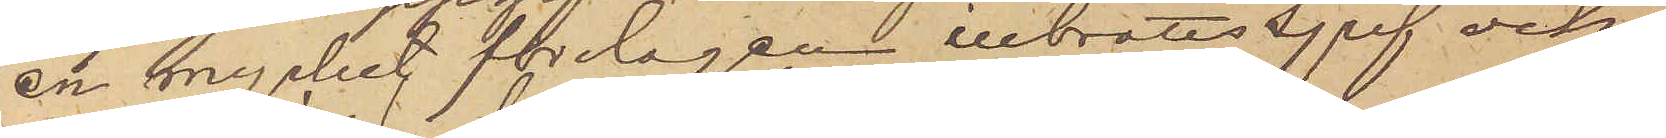en mycket förslagen inbrottstjuf och
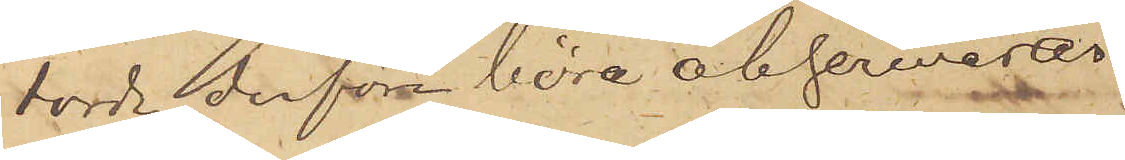torde derföre böra observeras.
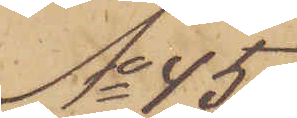No 45
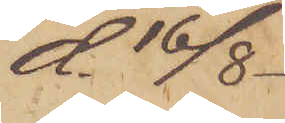d. 16/8.
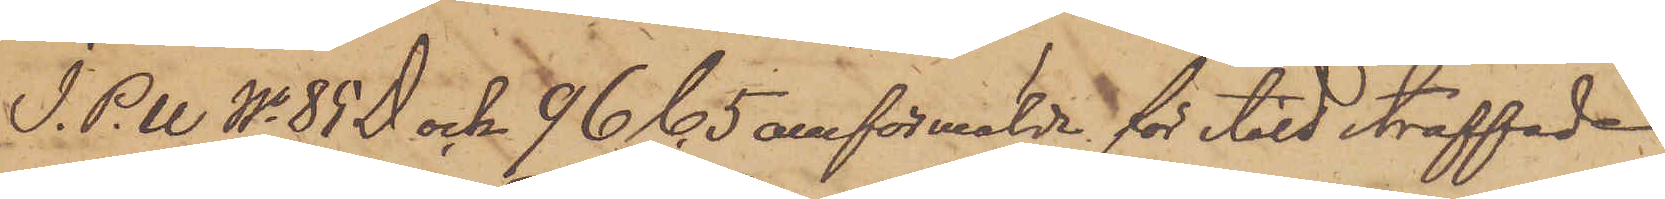I. P.U No 85 D och 96 C. 5 omförmälde för stöld straffade
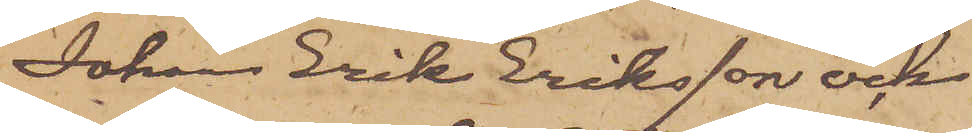Johan Erik Eriksson och
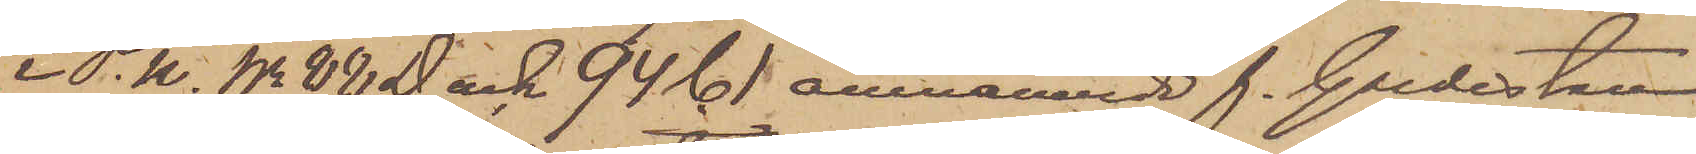i P.U No 88 D och 94 C 1 omnämnde f. Gardisten
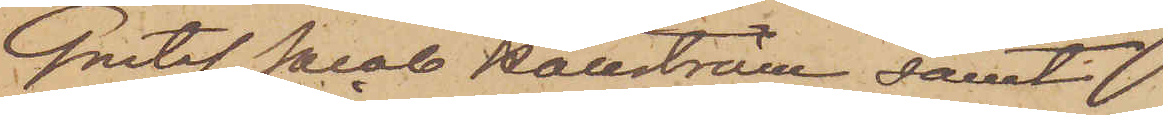Gustaf Jacob Hallström samt
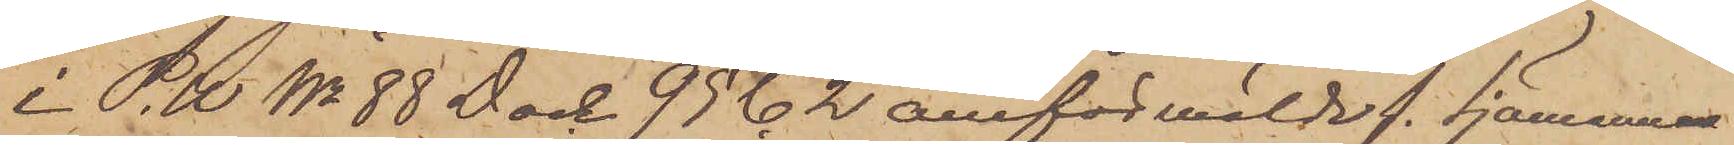i P.U No 88 D och 95 C. 2 omförmälde f. Sjömannen
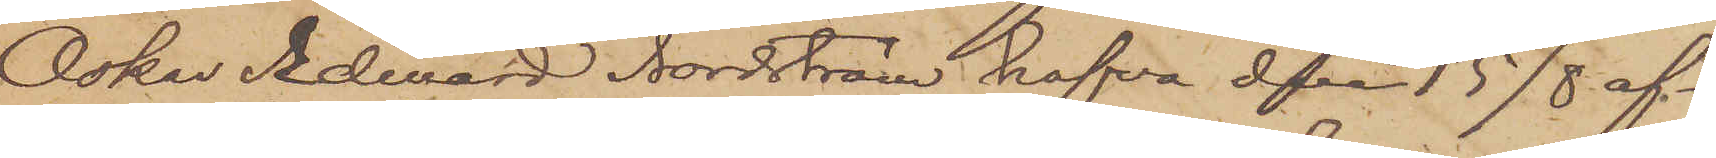Oskar Edward Nordström hafva den 15/8 af¬
